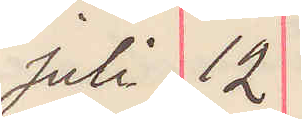Juli 12
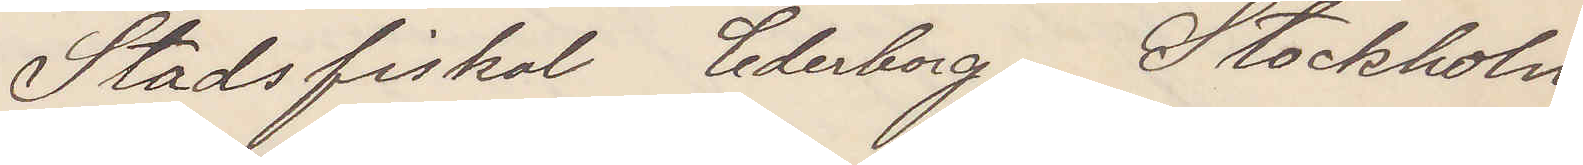Stadsfiskal Cederborg Stockholm
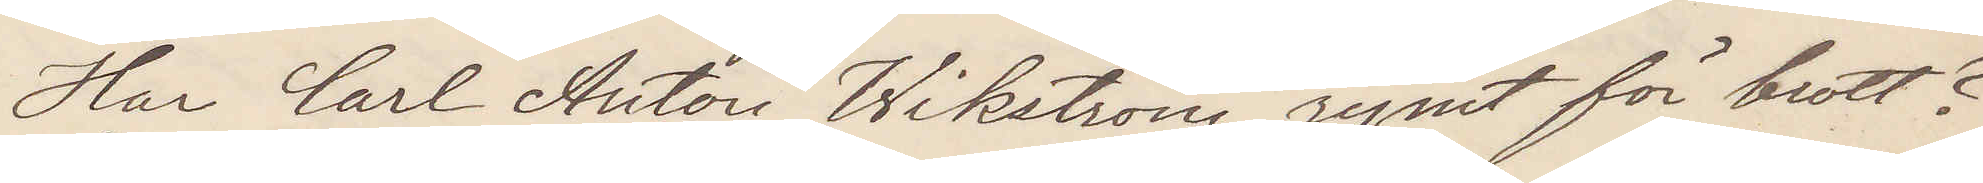Har Carl Anton Wikström rymt för brott?
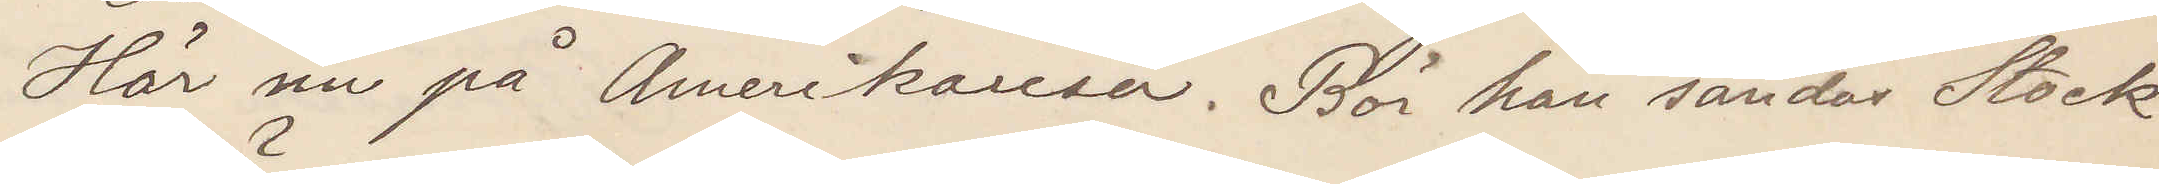Här nu på Amerikaresa. Bör han sändas Stock¬
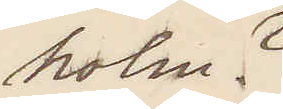holm?
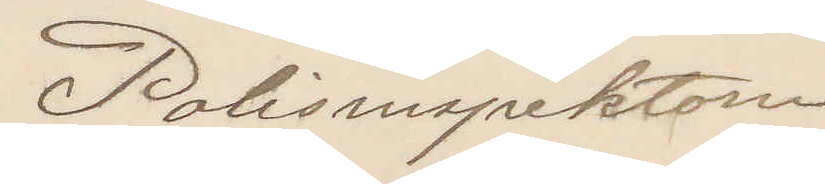Polisinspektorn
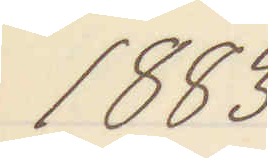1883
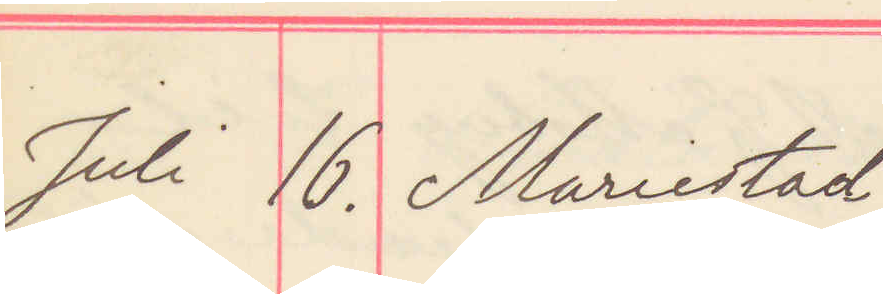Juli 16. Mariestad
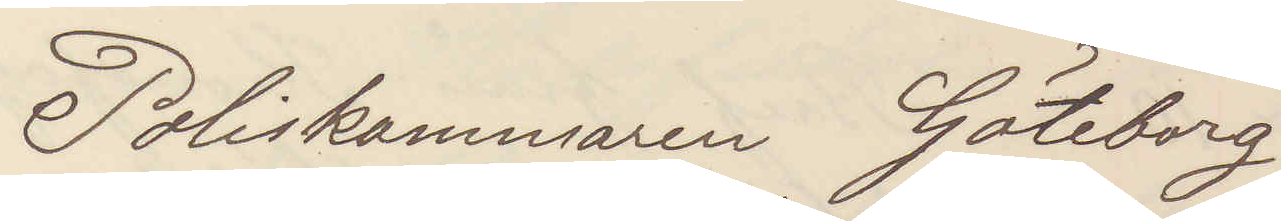Poliskammaren Göteborg
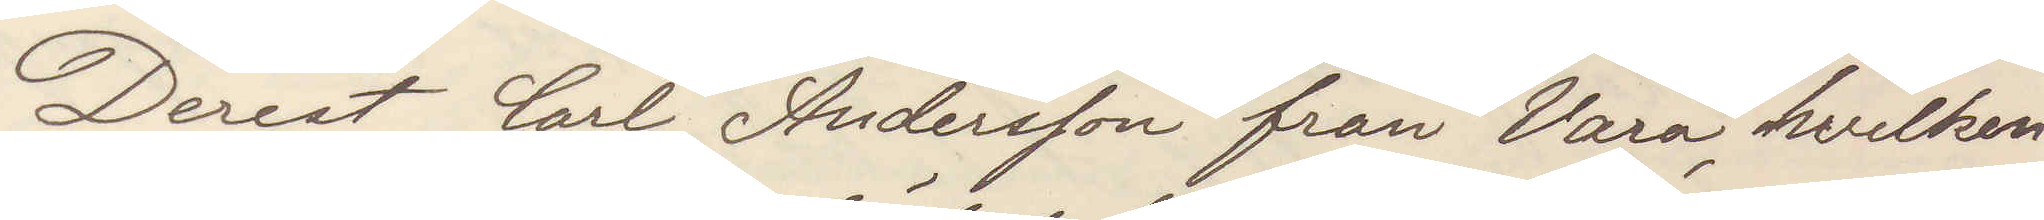Derest Carl Andersson från Vara, hvilken
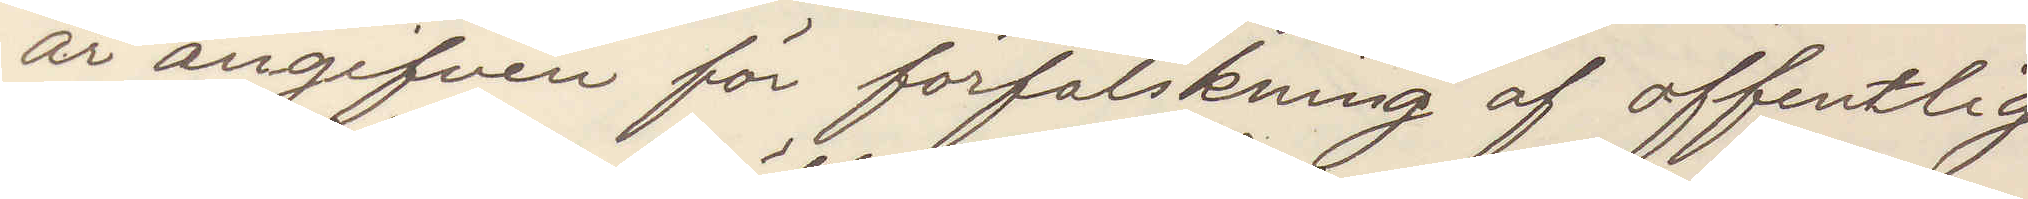är angifven för förfalskning af offentlig
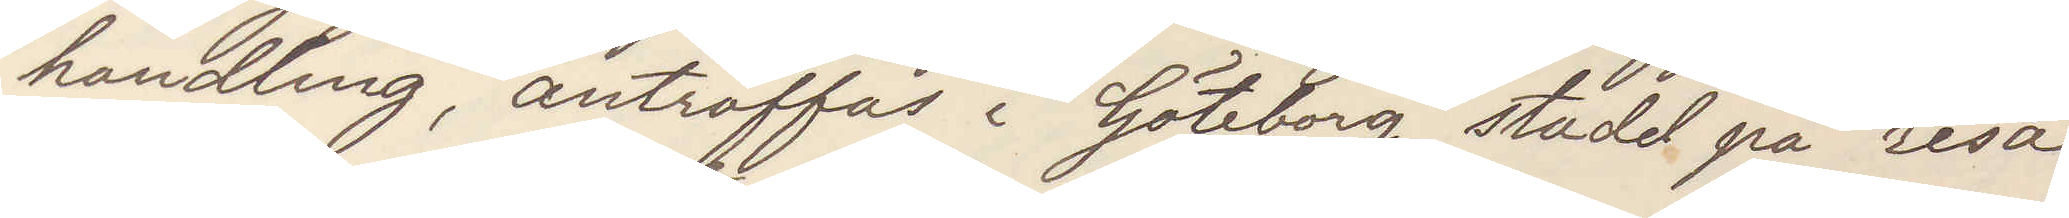handling, anträffas i Göteborg stadd på resa
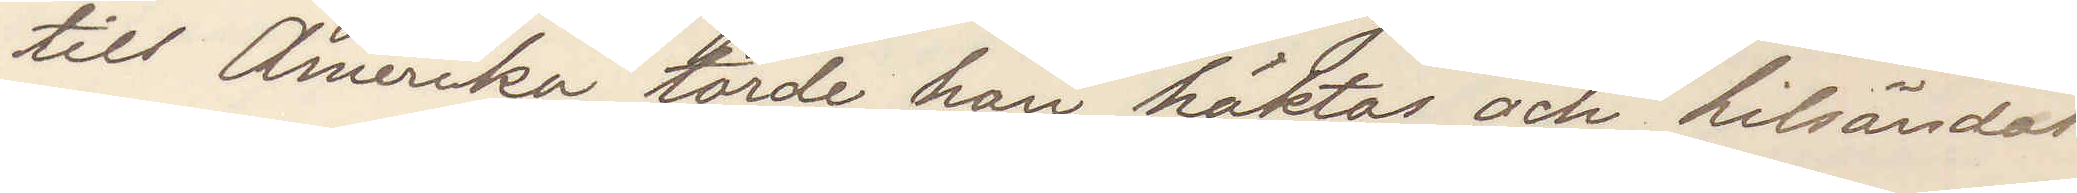till Amerika torde han häktas och hitsändas.
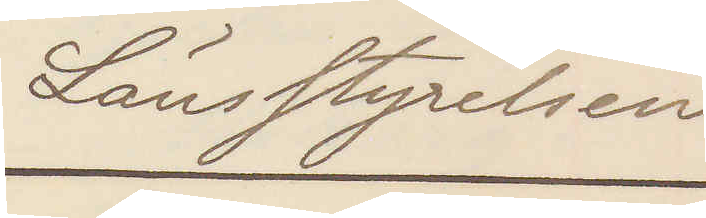Länsstyrelsen
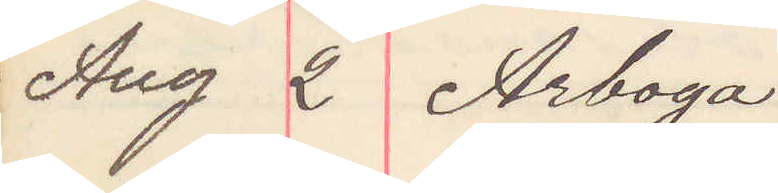Aug 2 Arboga
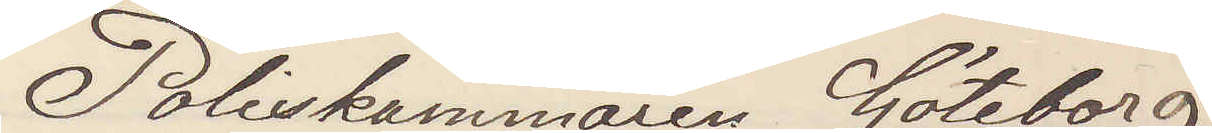Poliskammaren Göteborg
